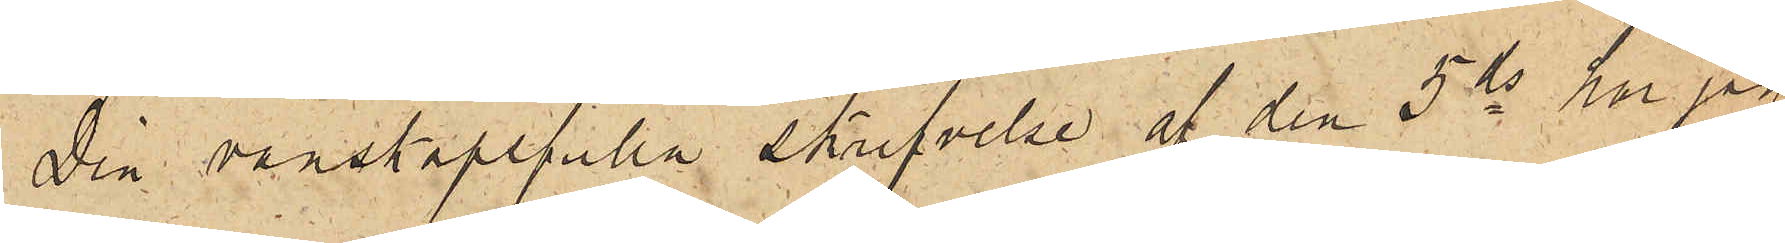Din vänskapsfulla skrifvelse af den 5 ds har jag
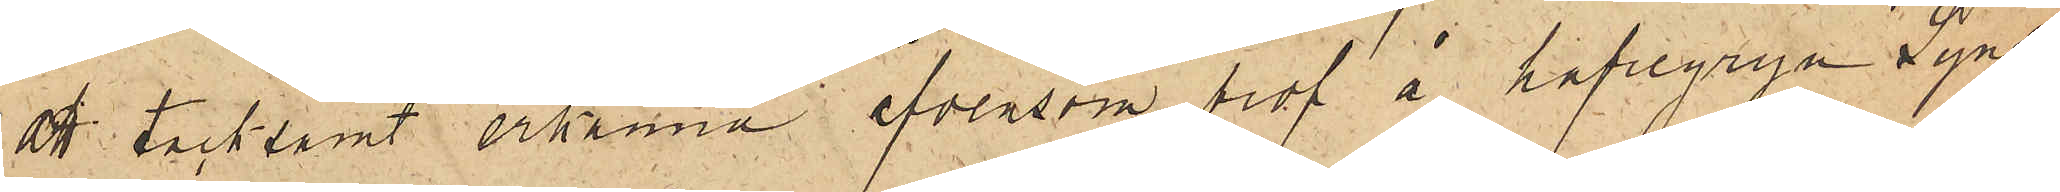att tacksamt erkänna äfvensom prof  å hafregryn. Synd
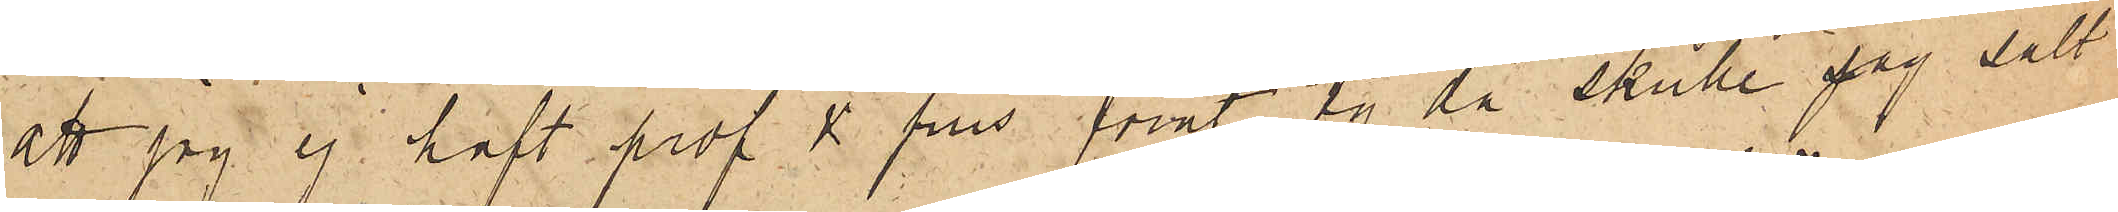att jag ej haft prof & pris förut ty då skulle jag sålt
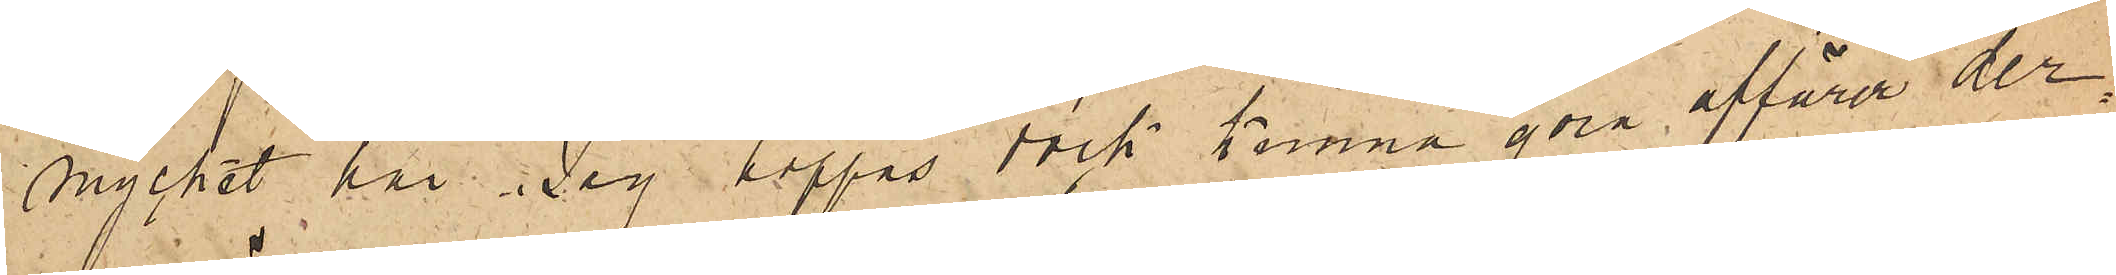mycket här. Jag hoppas dock kunna göra affärer der¬
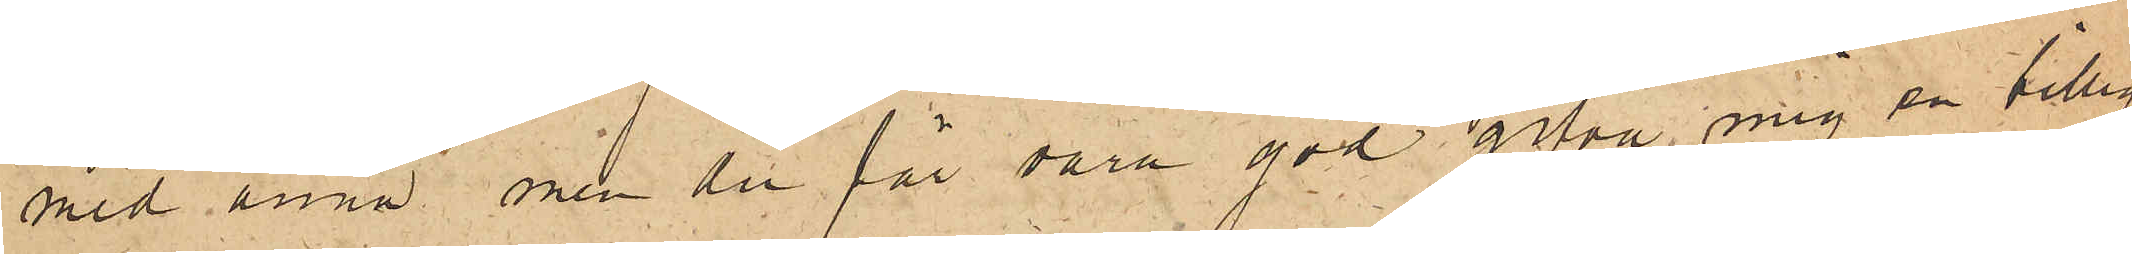med ännu, men du får vara god gifva mig en billig
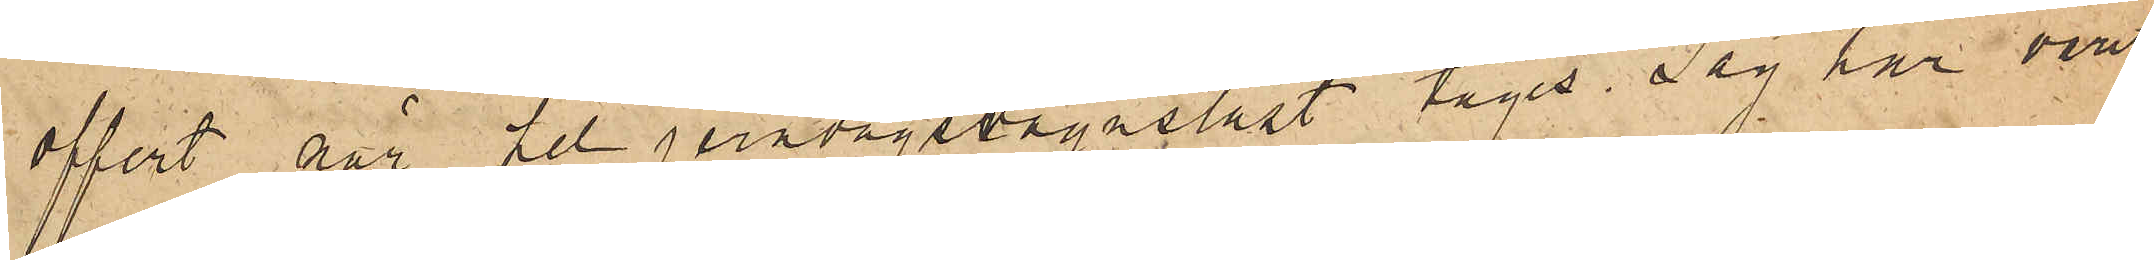offert när hel jernvägsvagnslast tages. Jag har varit
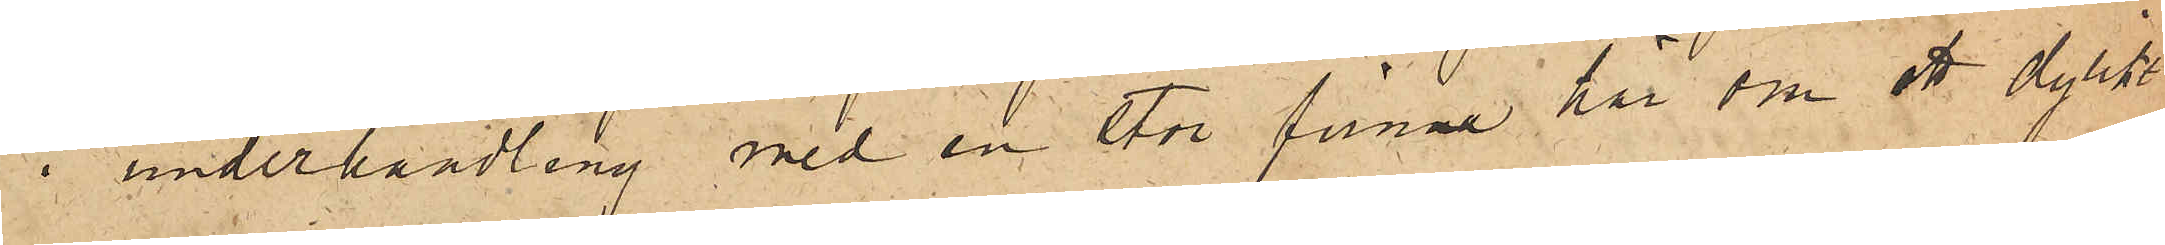i underhandling med en stor firma här om ett dylikt
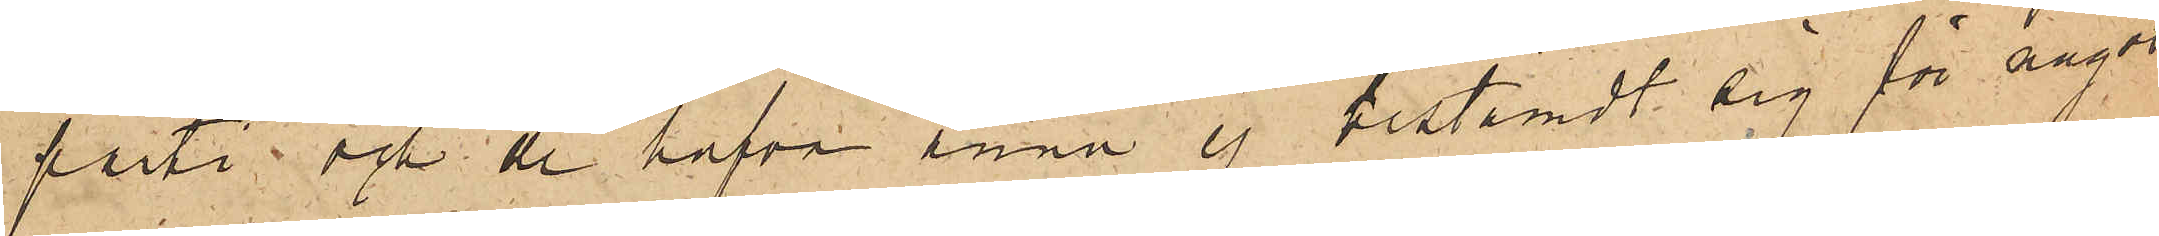parti och de hafva ännu ej bestämdt sig för något
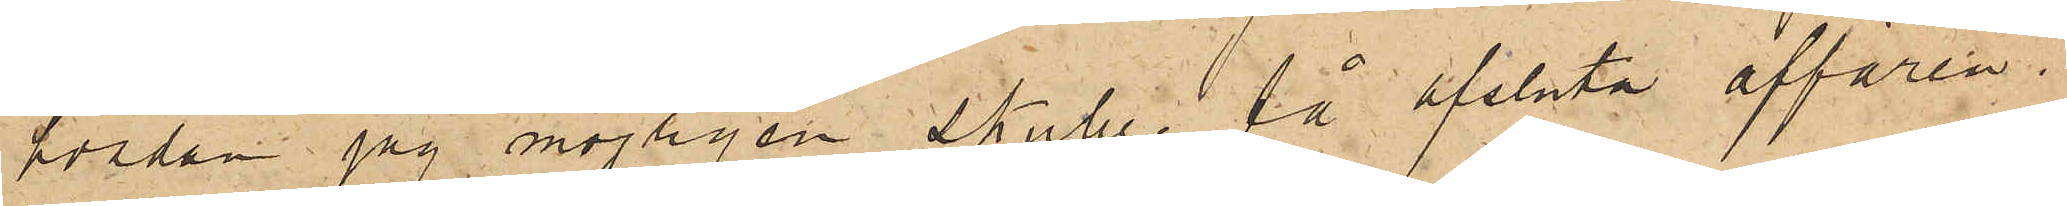hvadan jag möjligen skulle få afsluta affären.
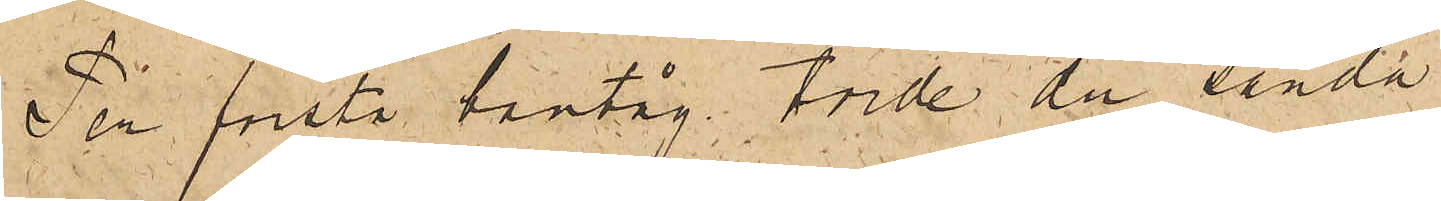Per första bantåg torde du sända
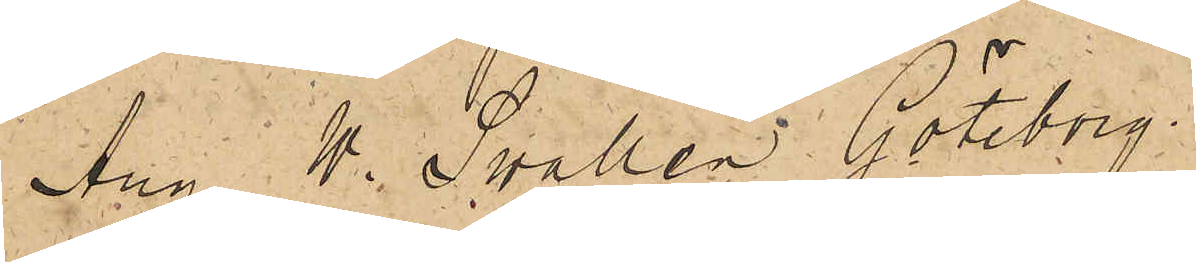Aug. W. Swallén Göteborg.
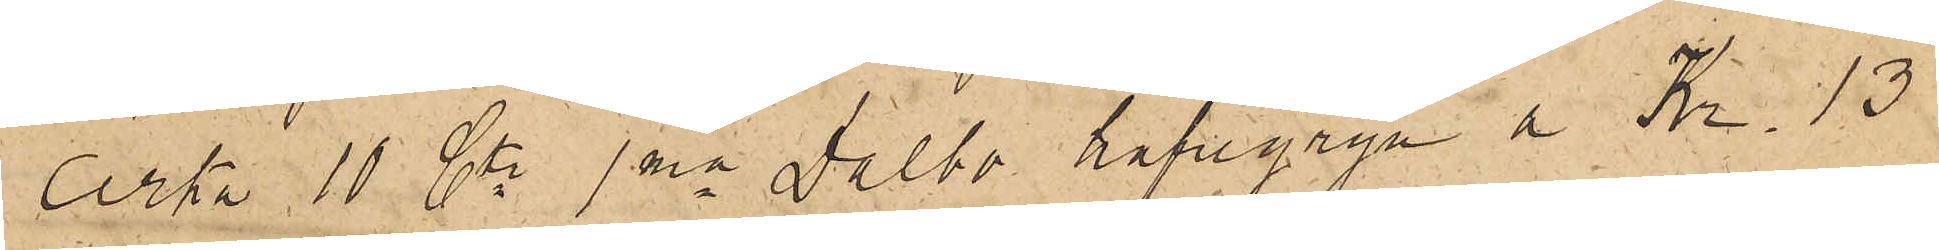cirka 10 Ctr 1ma Dalbo hafregryn a Kr. 13
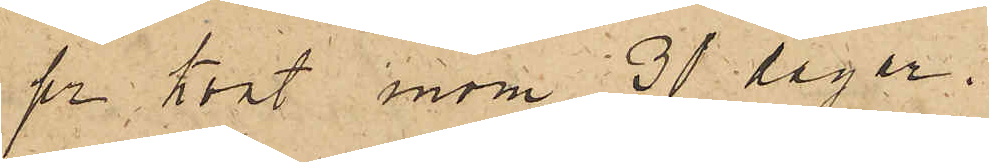pr kart inom 30 dagar.
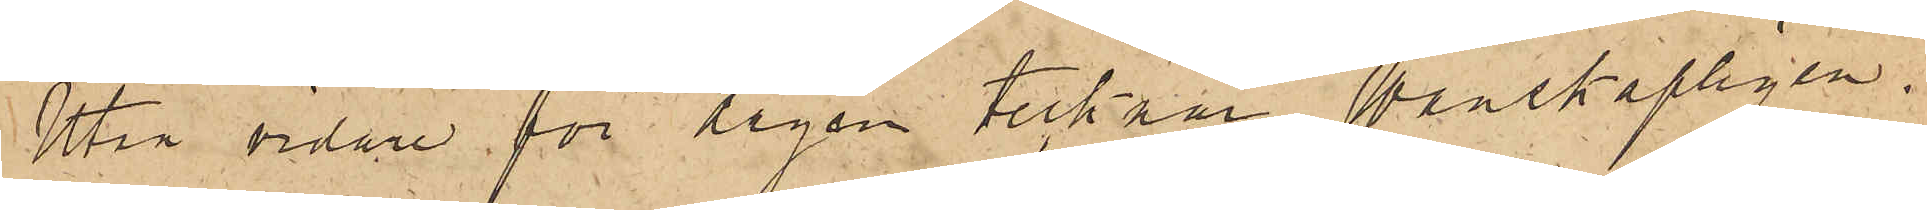Utan vidare för dagen tecknar Wänskapligen
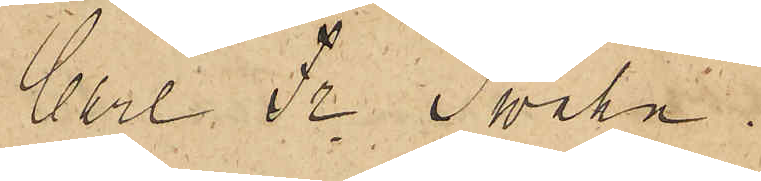Carl Fr. Svahn
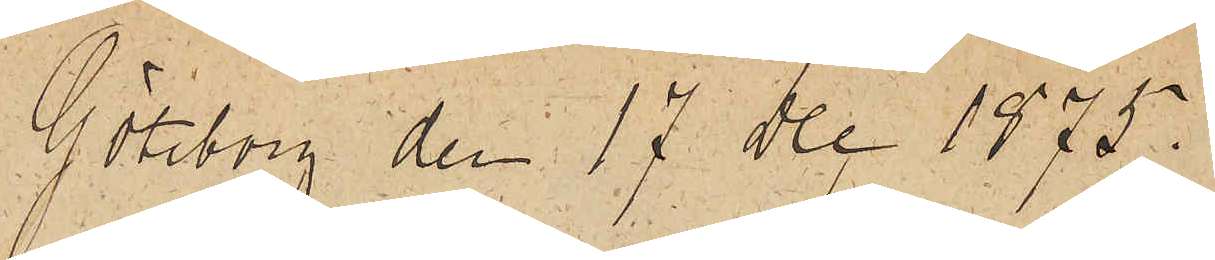Göteborg den 17 Dec 1875.
